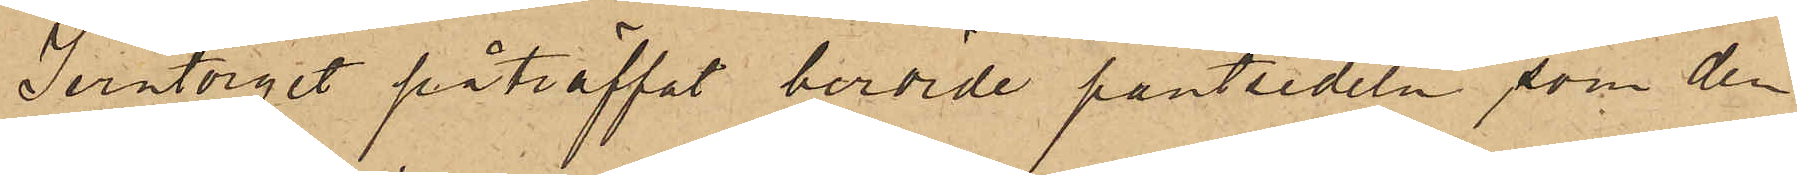Jerntorget påträffat berörde pantsedeln som den
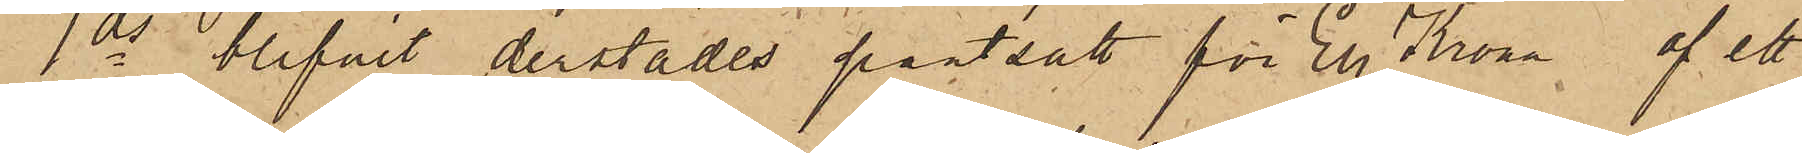1 ds blifvit derstädes pantsatt för En Krona, af ett
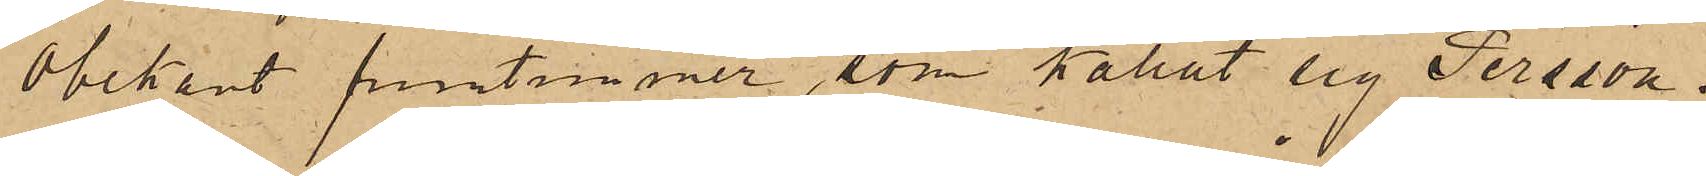obekant fruntimmer, som kallat sig Persson.
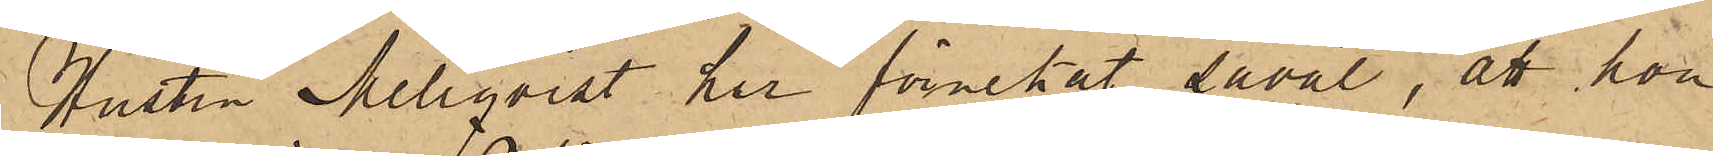Hustru Mellqvist har förnekat såväl, att hon
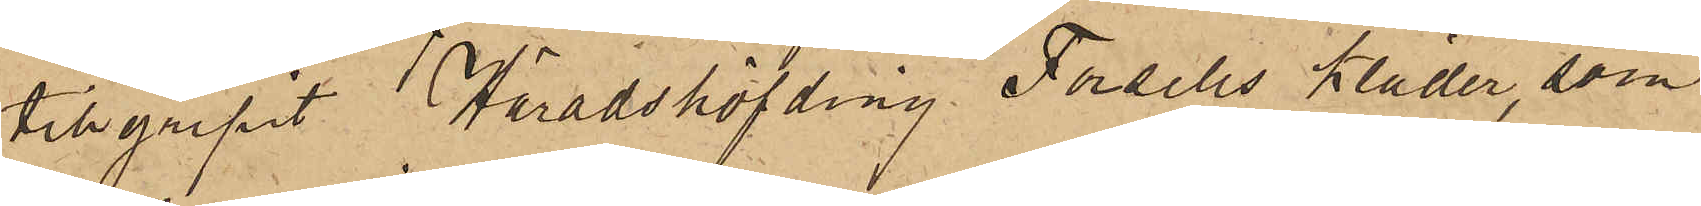tillgripit Häradshöfding Forsells kläder, som
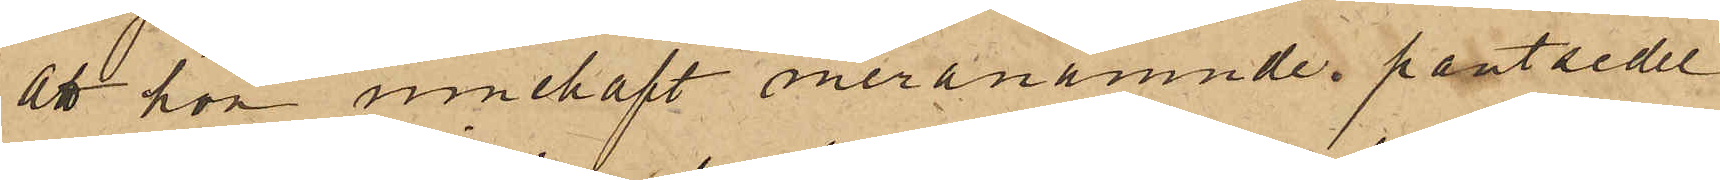att hon innehaft meranämnde pantsedel
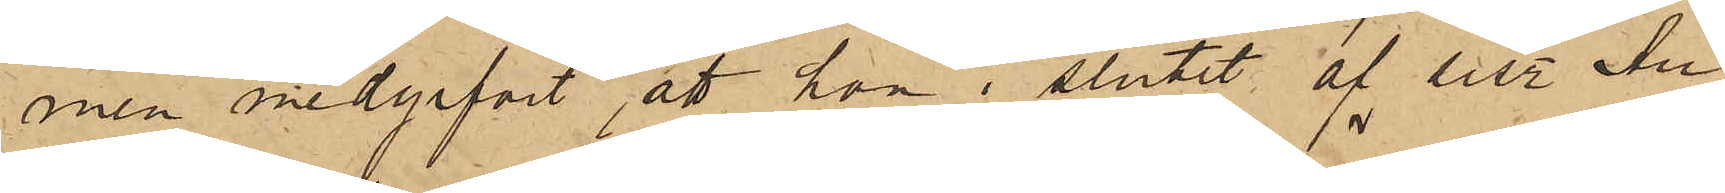men medgifvit att hon i slutet af sist. Au¬
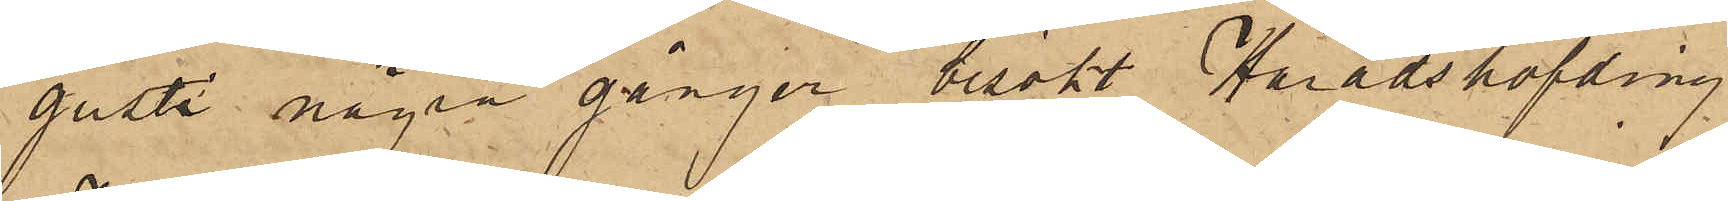gusti några gånger besökt Häradshöfding
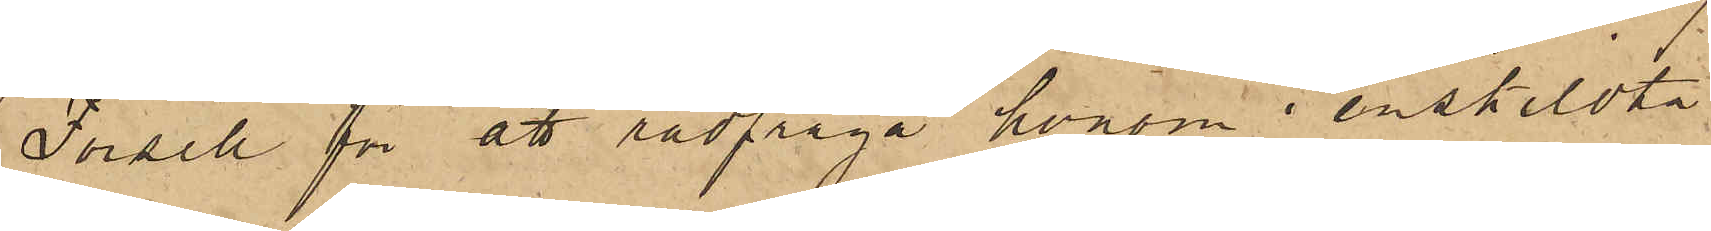Forsell för att rådfråga honom i enskildta
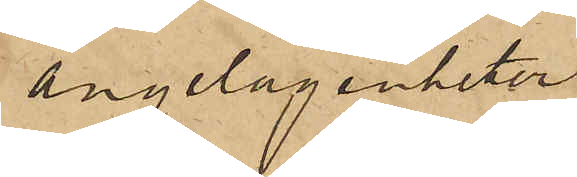angelägenheter.
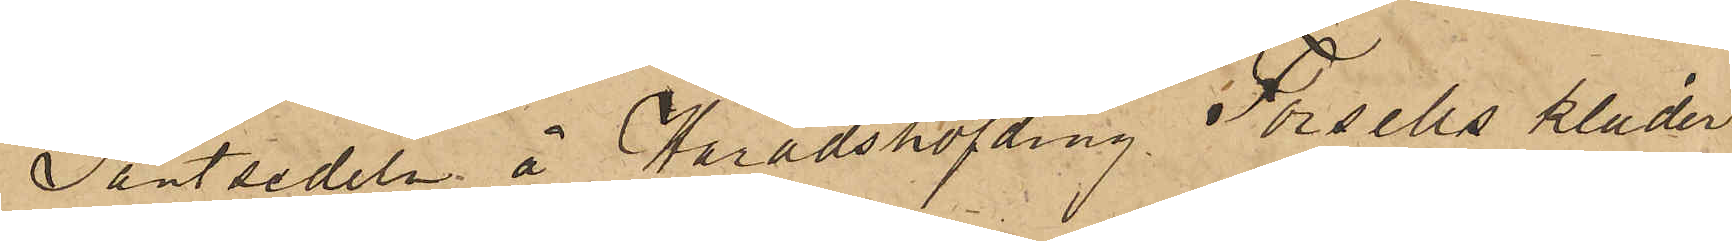Pantsedeln å Häradshöfding Forsells kläder
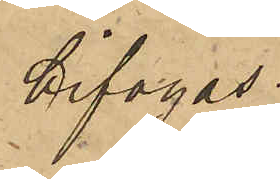bifogas.
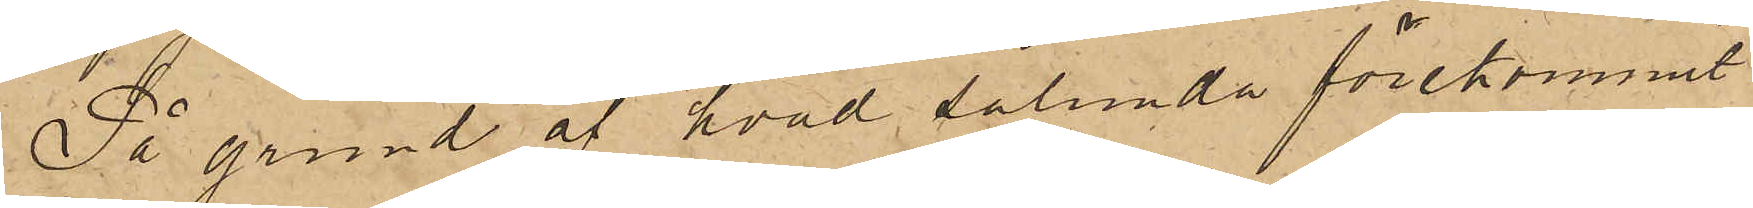På grund af hvad sålunda förekommit
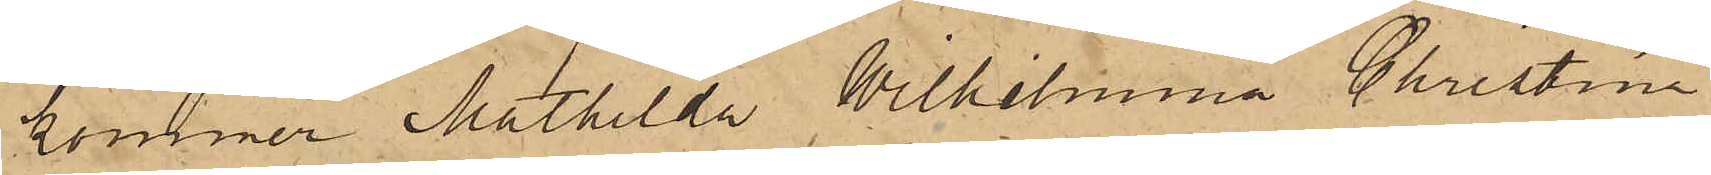kommer Mathilda Wilhelmina Christina
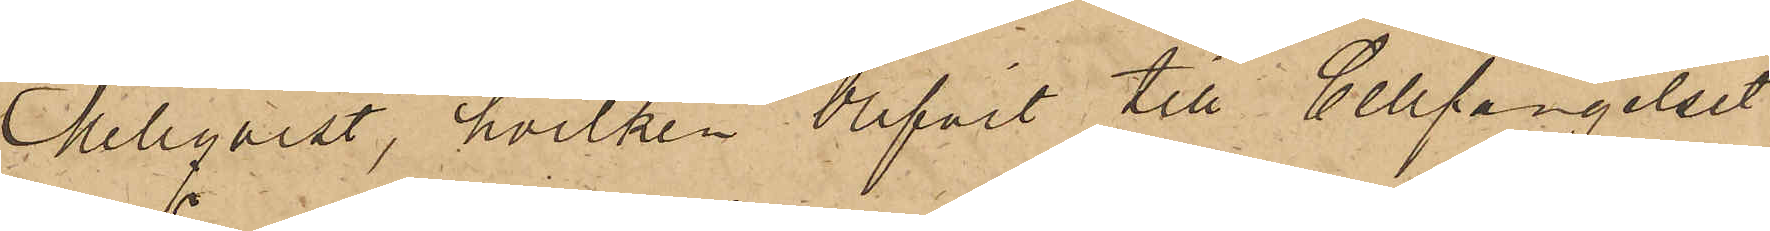Mellqvist, hvilken blifvit till Cellfängelset
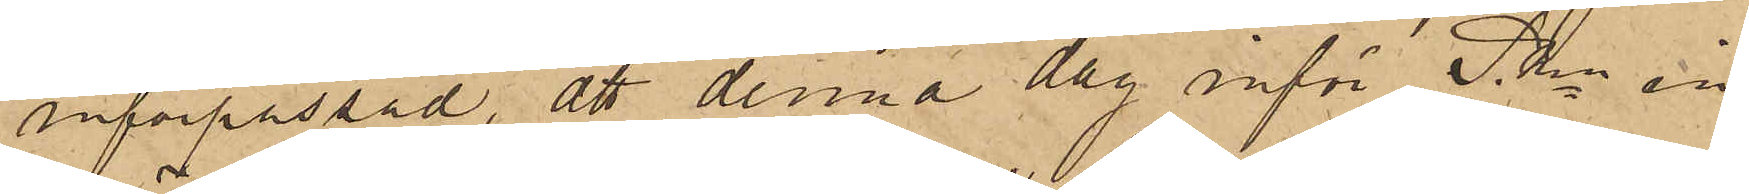införpassad, att denna dag inför PKn in¬
